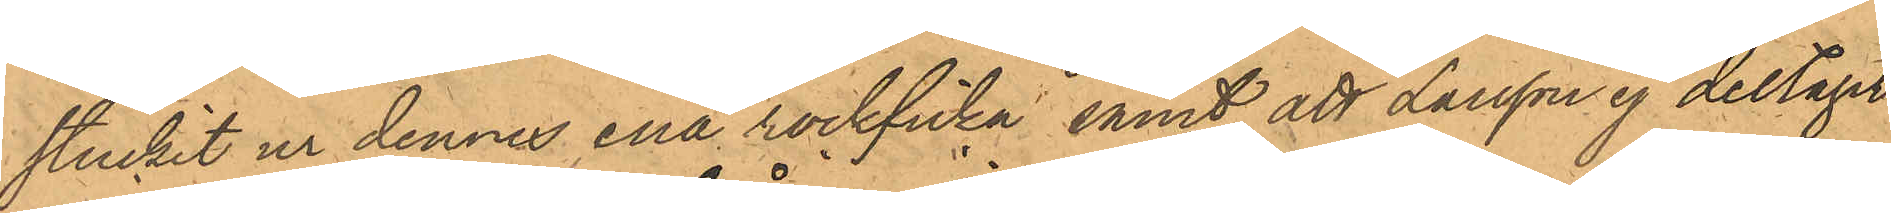stuckit ur dennes ena rockficka, samt att Larsson ej deltagit
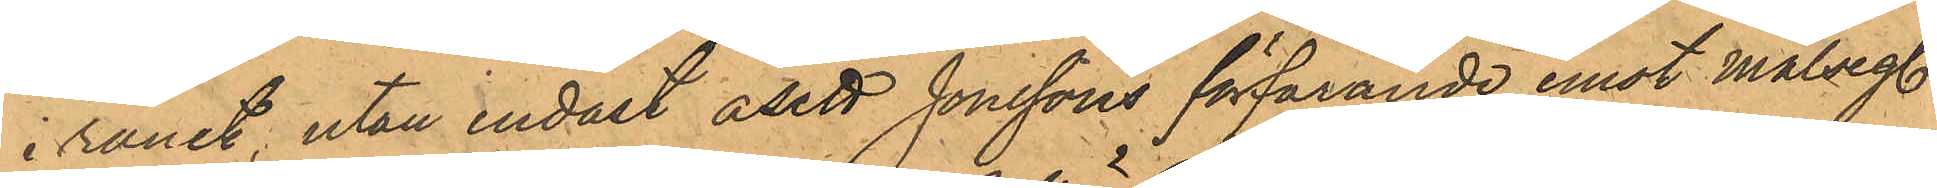i rånet, utan endast åsett Jonssons förfarande emot målseg.
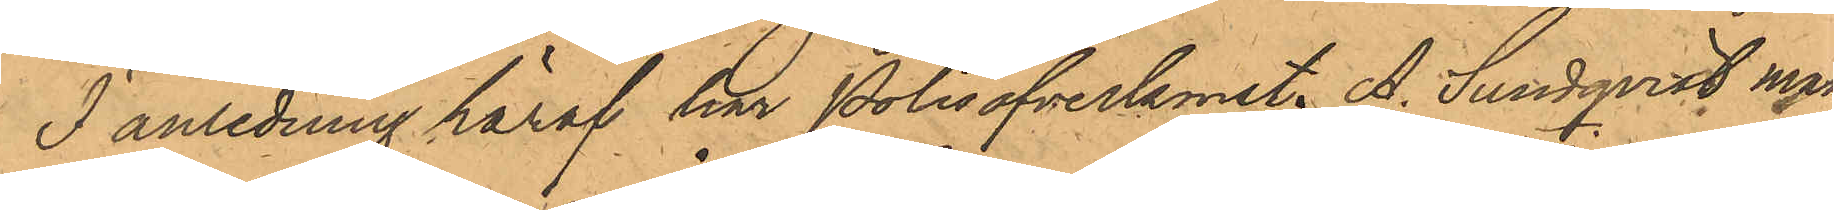I anledning häraf har Polisöfverkonst. A. Sundqvist mån¬
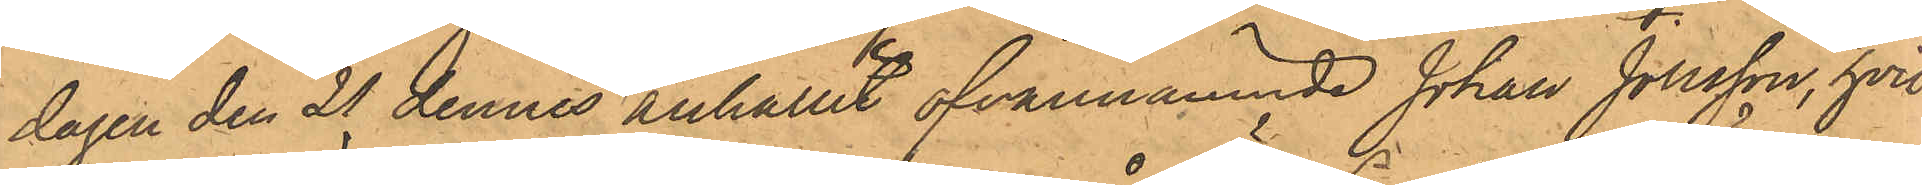dagen den 21 dennes anhållit ofvannämnde Johan Jonsson, hvil¬
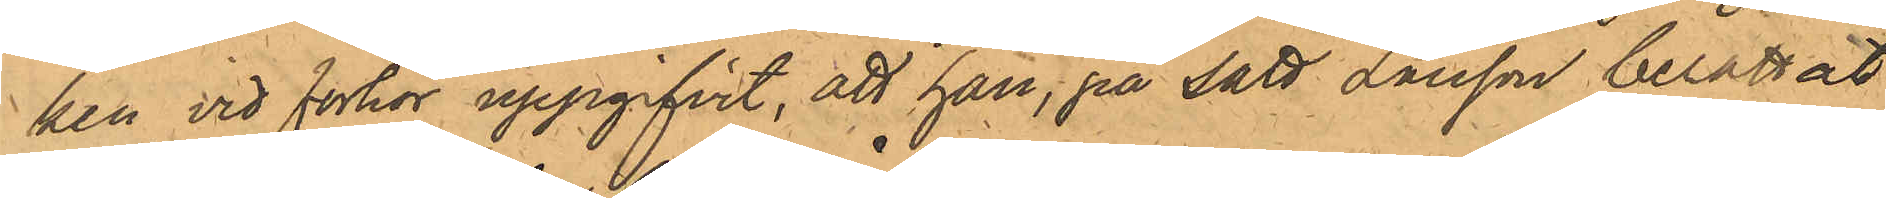ken vid förhör uppgifvit, att han, på sätt Larsson berättat
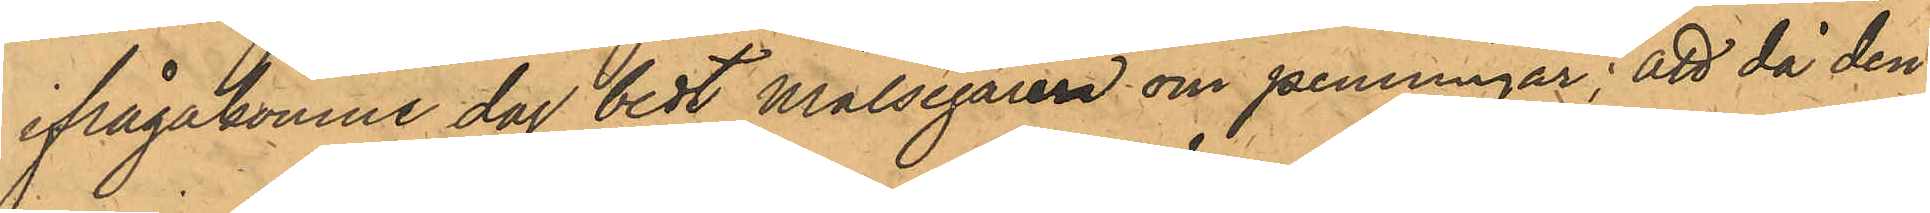ifrågakomne dag bedt målsegaren om penningar; att då den¬
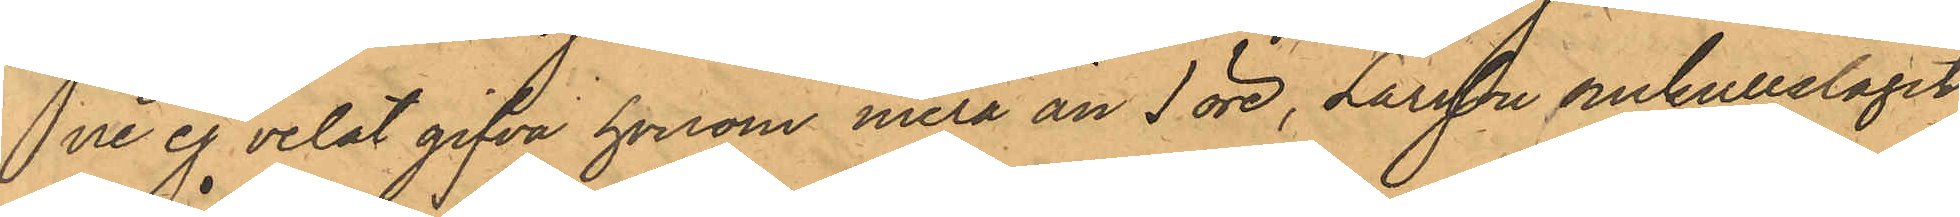ne ej velat gifva honom mera än 1 öre, Larsson omkullslagit
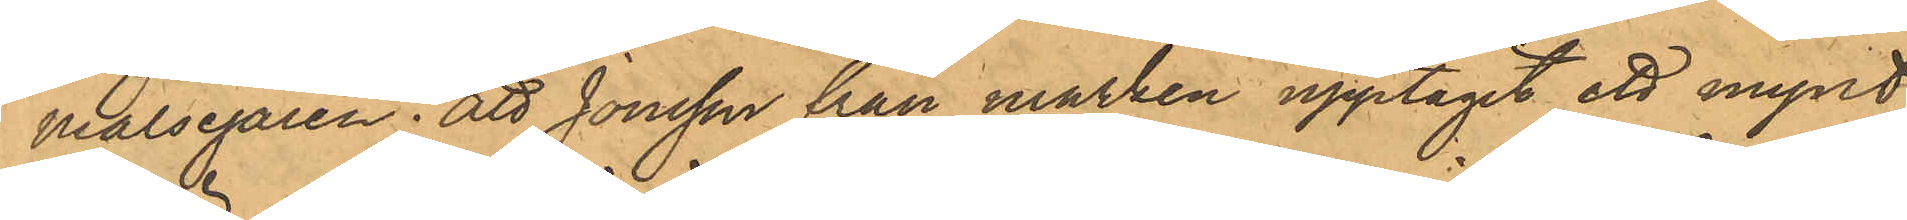målsegaren; att Jonsson från marken upptagit ett mynt
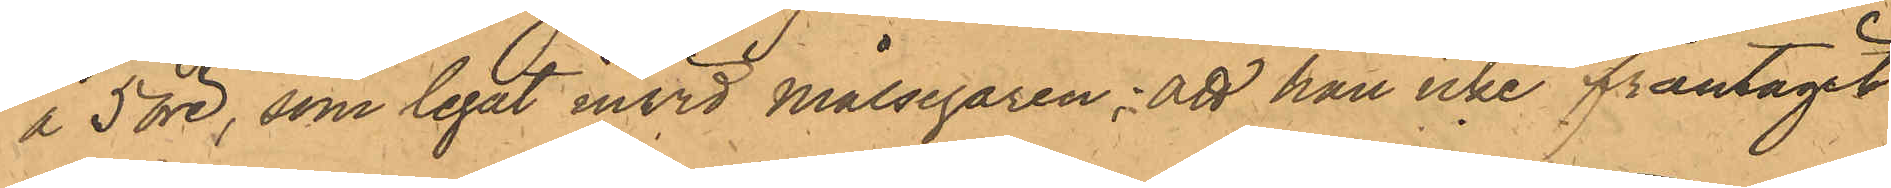å 5 öre, som legat invid Målsegaren; att han icke fråntagit
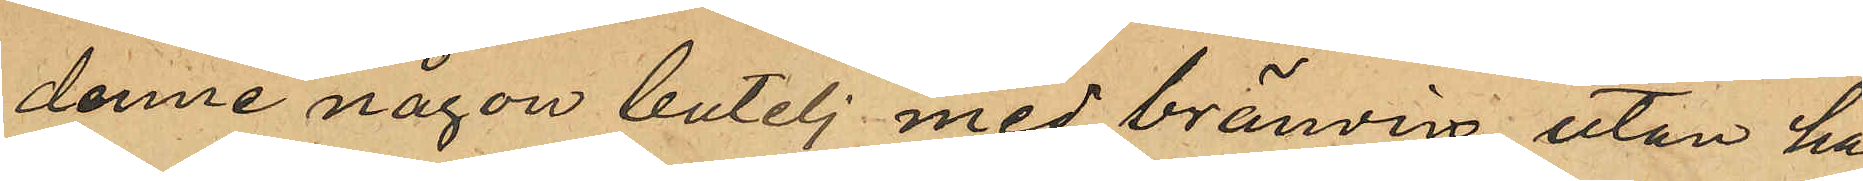denne någon butelj med bränvin utan ha¬
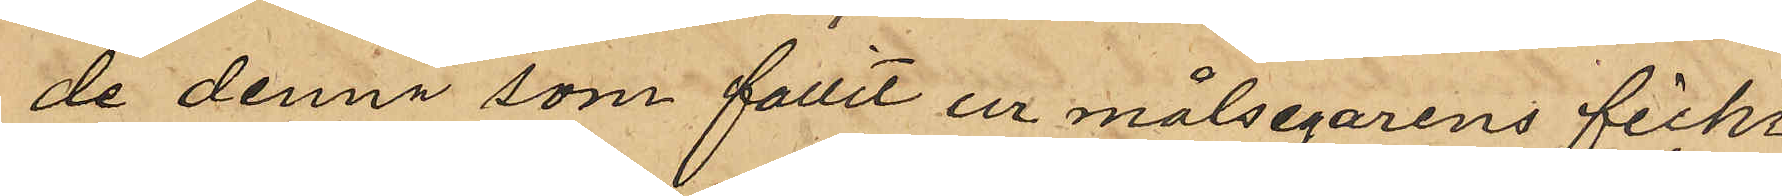de denna som fallit ur målsegarens ficka
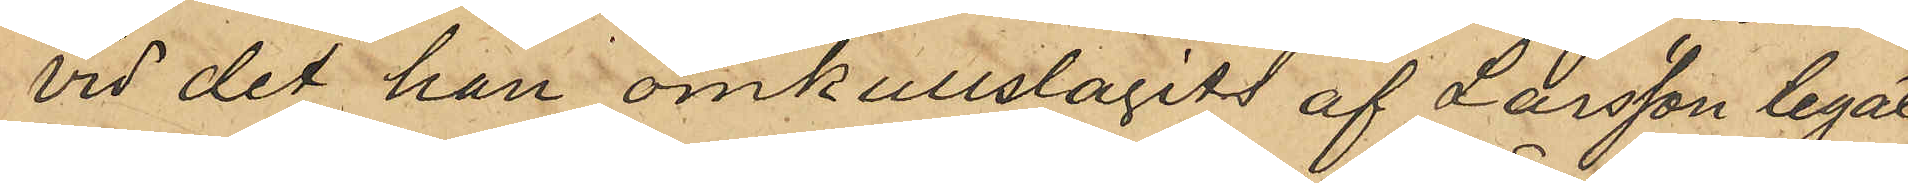vid det han omkullslagits af Larsson legat
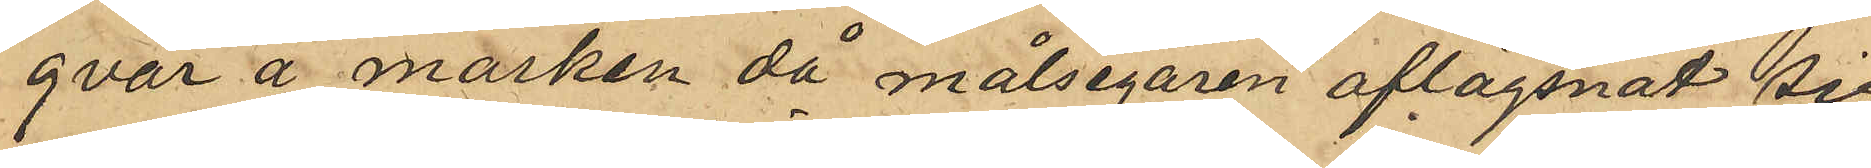qvar å marken då målsegaren aflägsnat sig
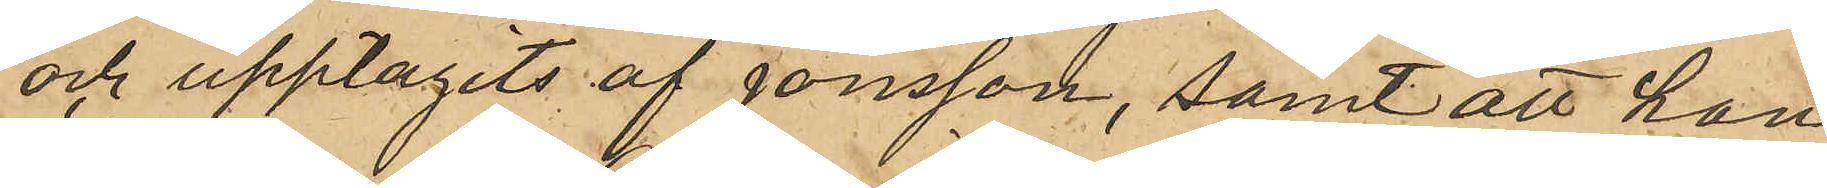och upptagits af Jonsson, samt att han,
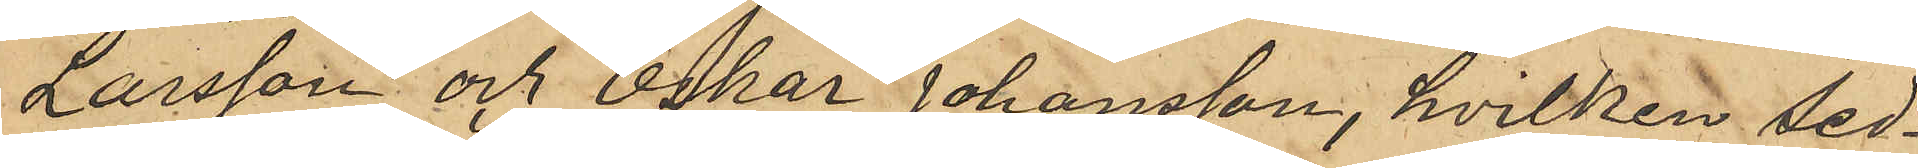Larsson och Oskar Johansson, hvilken sed¬
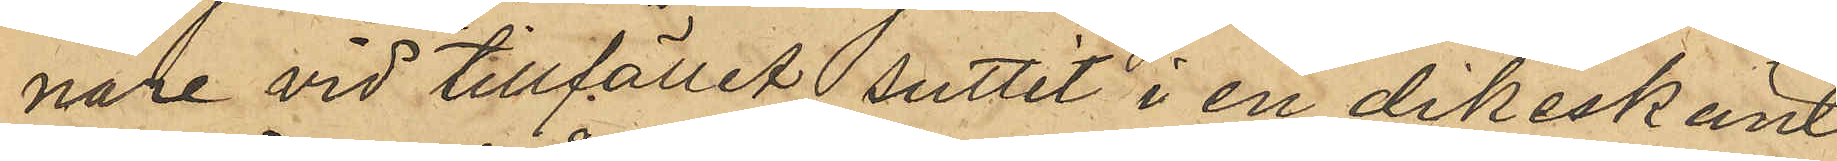nare vid tillfället suttit i en dikeskant
